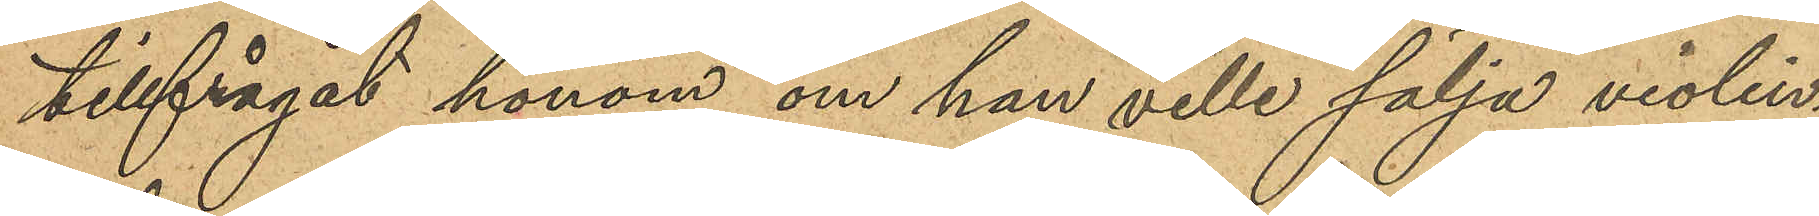tillfrågat honom om han ville sälja violin¬
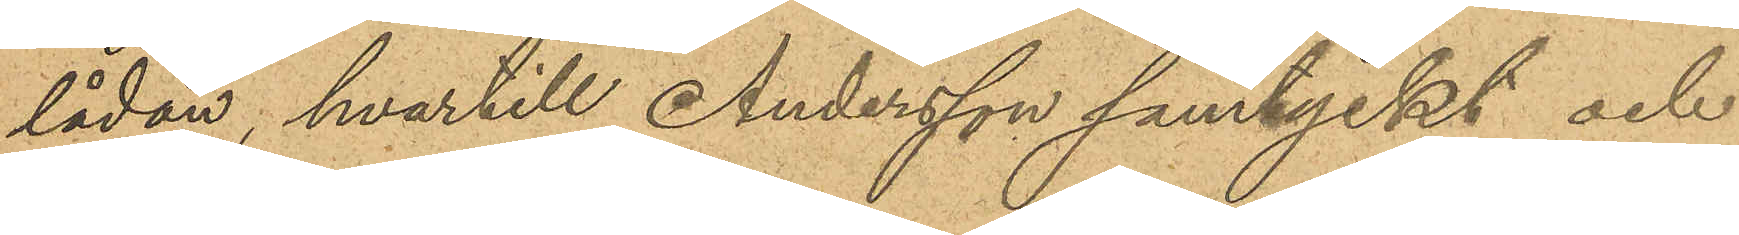lådan, hvartill Andersson samtyckt och
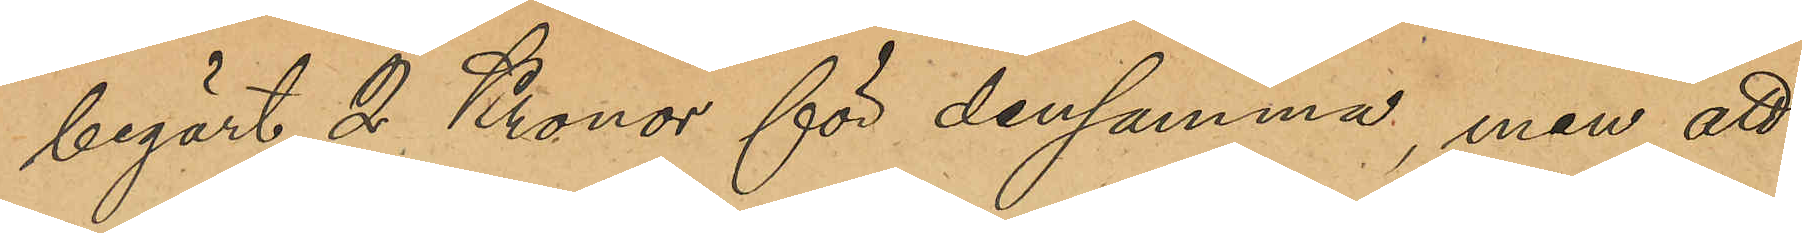begärt 2 Kronor för densamma, men att
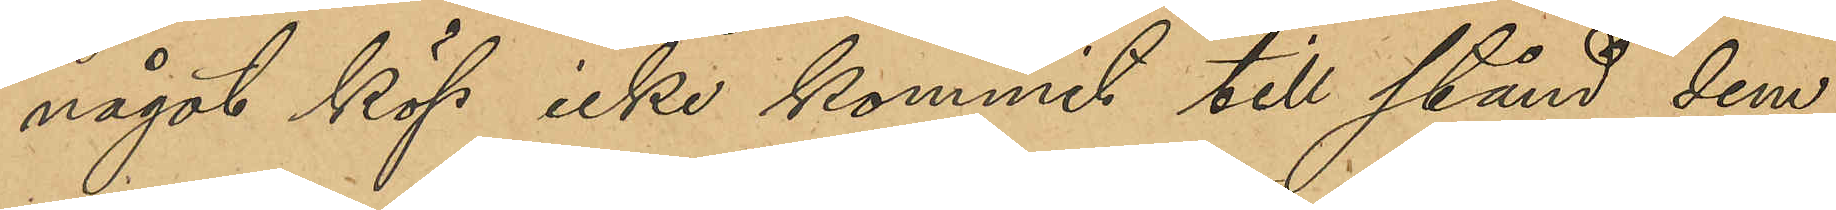något köp icke kommit till stånd dem
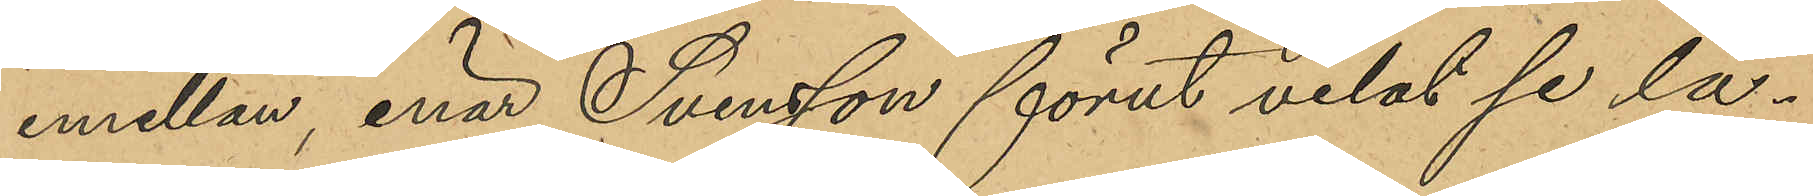emellan, enär Svensson förut velat se lå¬
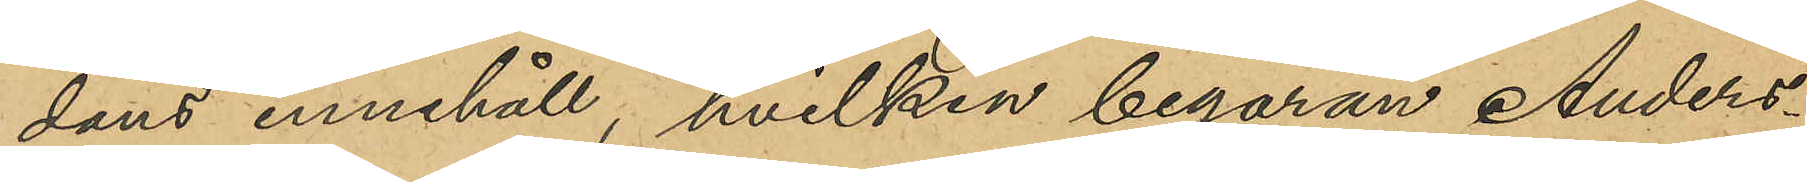dans innehåll, hvilken begäran Anders¬
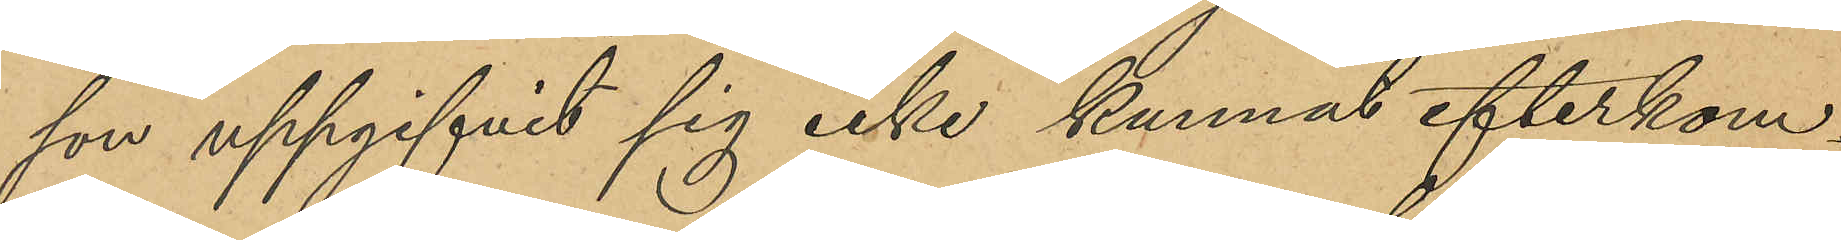son uppgifvit sig icke kunnat efterkom¬
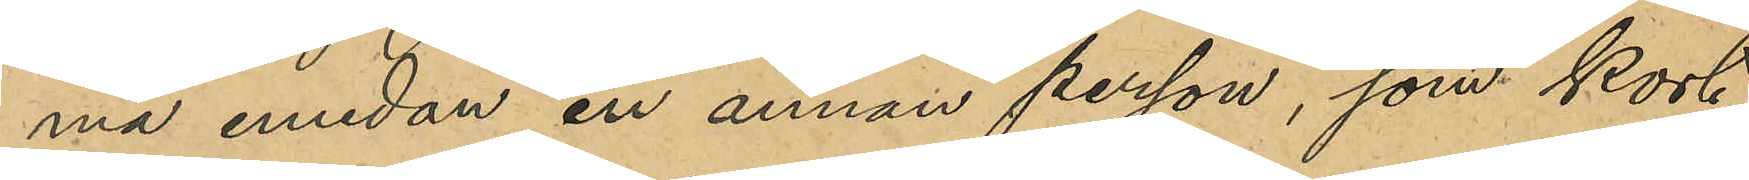ma emedan en annan person, som kort
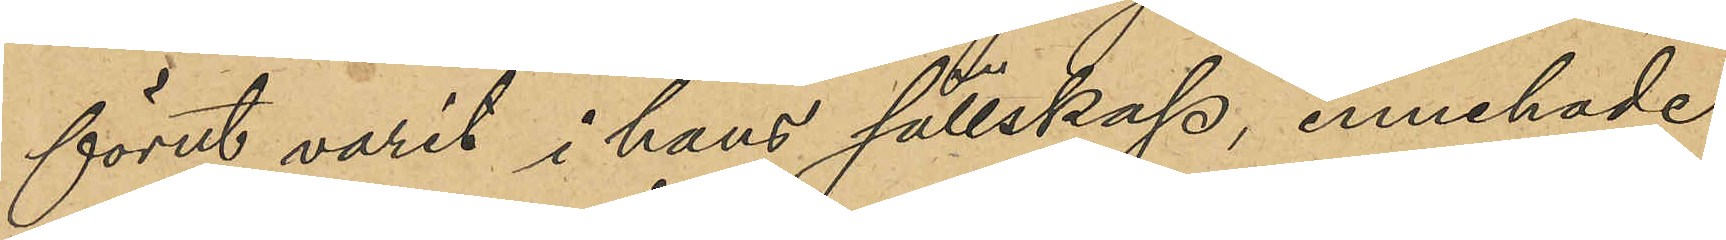förut varit i hans sällskap, innehade
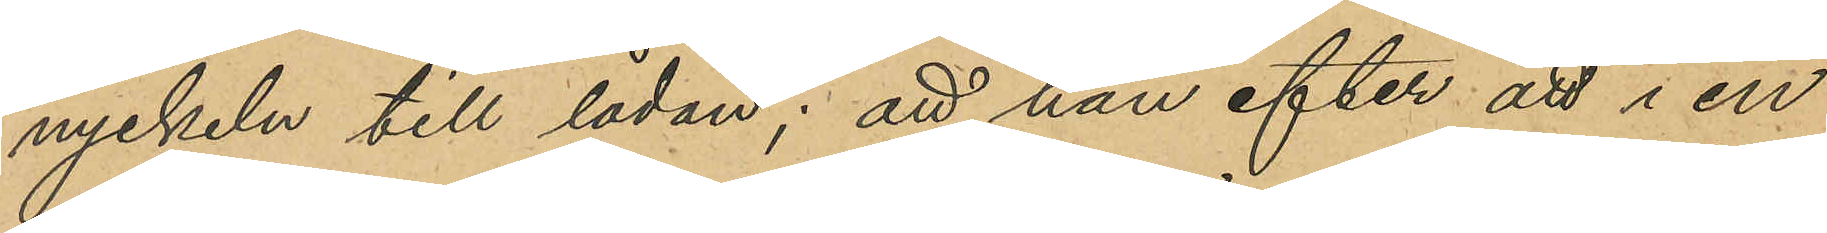nyckeln till lådan; att han efter att i en
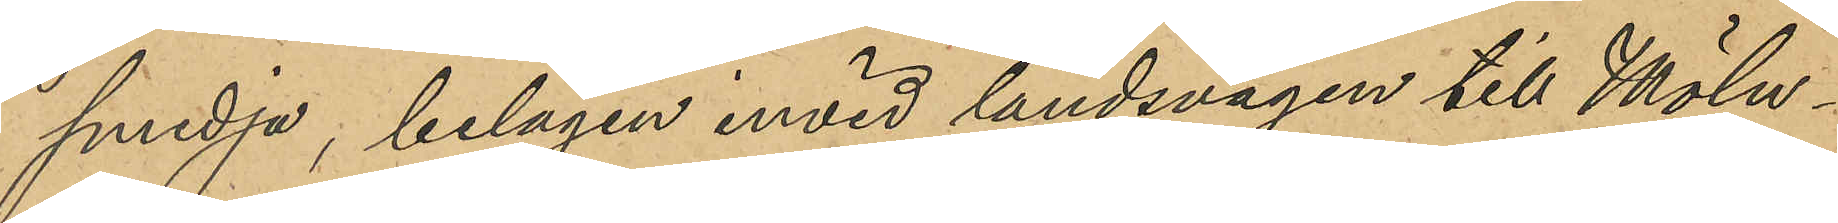smedja, belägen invid landsvägen till Möln¬
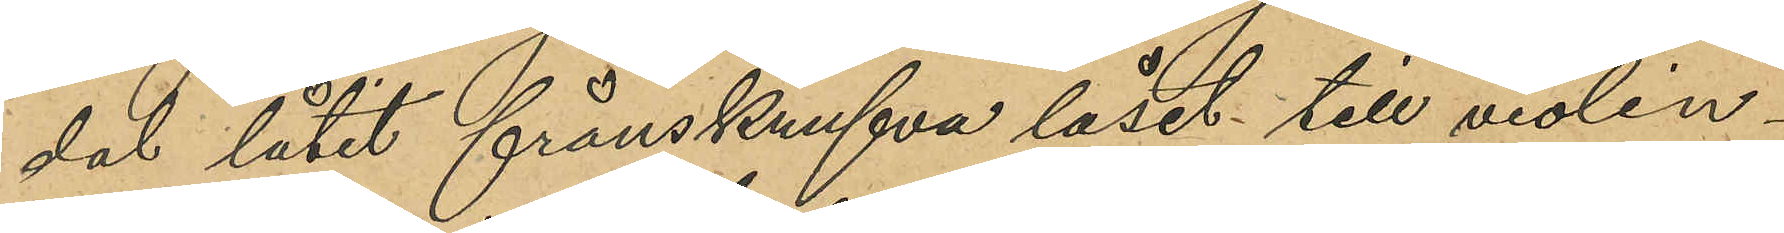dal låtit frånskrufva låset till violin¬
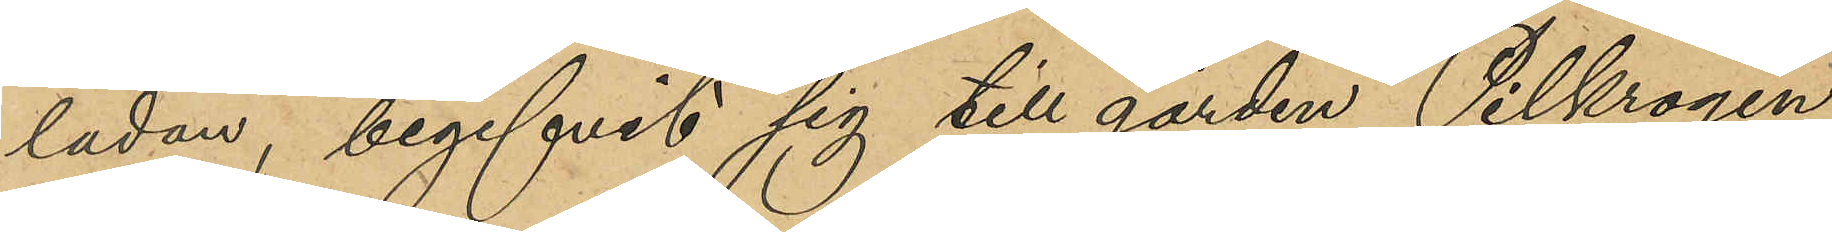ladan, begifvit sig till gården Pilkrogen
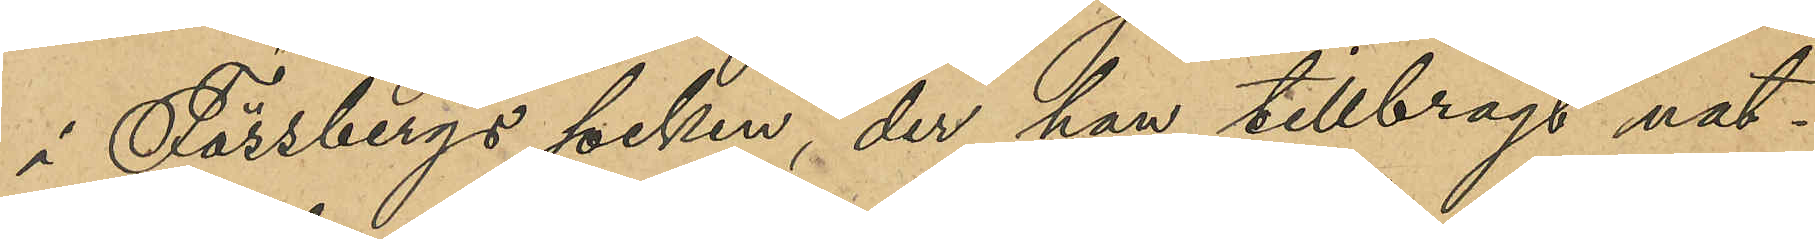i Fässbergs socken, der han tillbragt nat¬
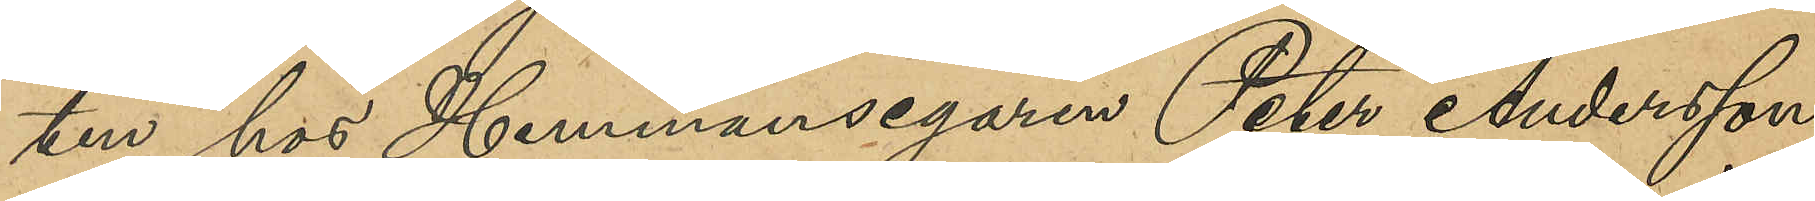ten hos Hemmansegaren Peter Andersson;
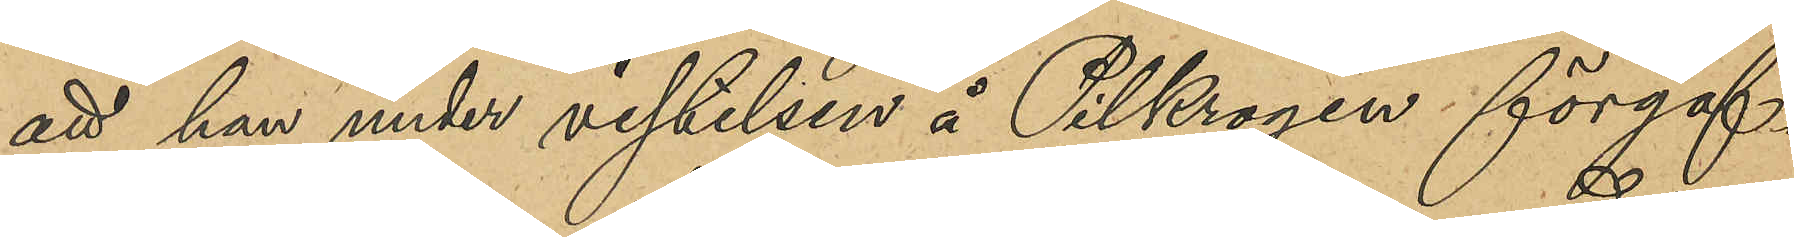att han under vistelsen å Pilkrogen förgäf¬
